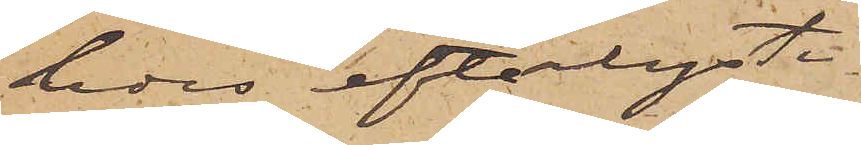ledes efterlyste
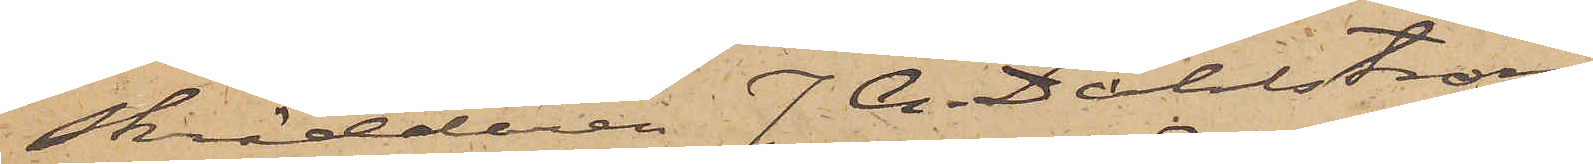Skräddaren J A. Dahlström
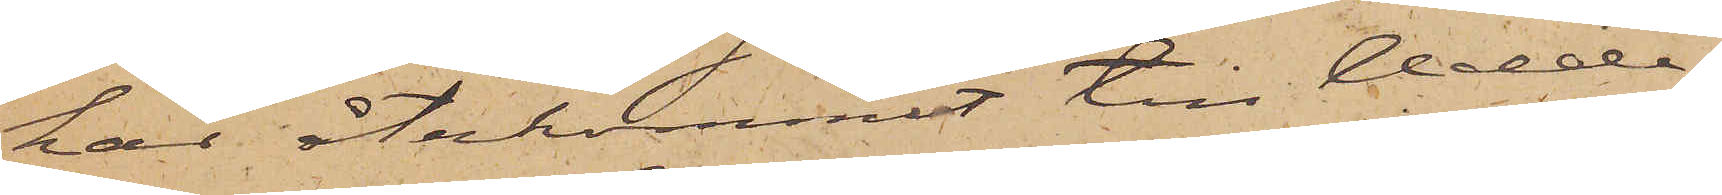har återkommit till Udde¬
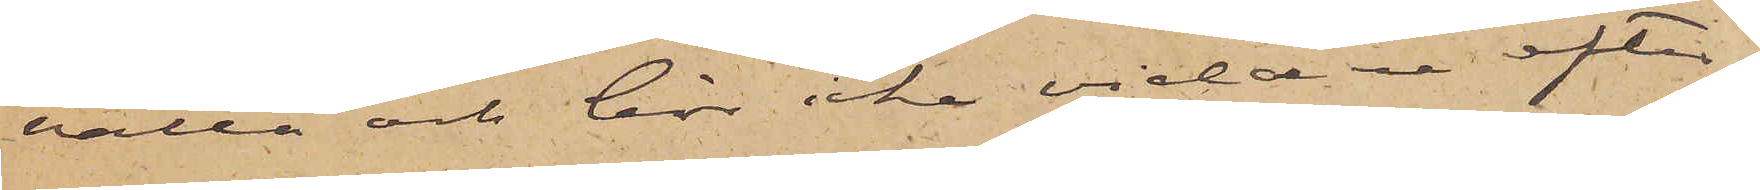valla och bör icke vidare efter¬
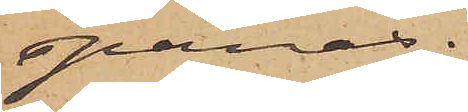spanas.
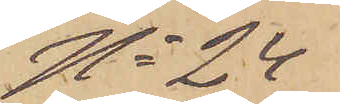No 24
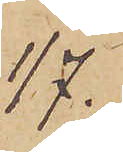1/7.
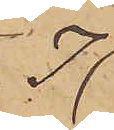I
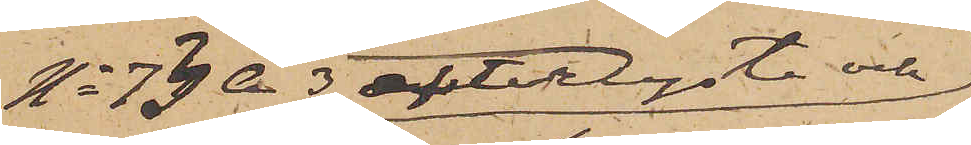No 73 A 3 efterlyste och
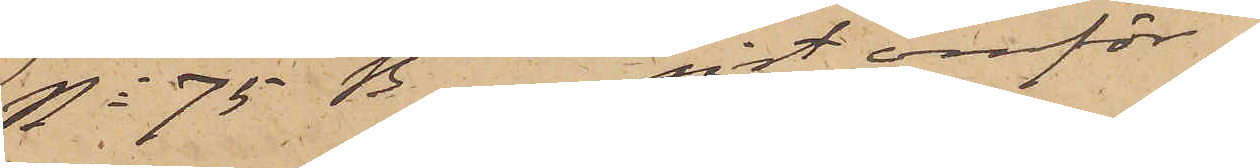No 75 B sist omför¬
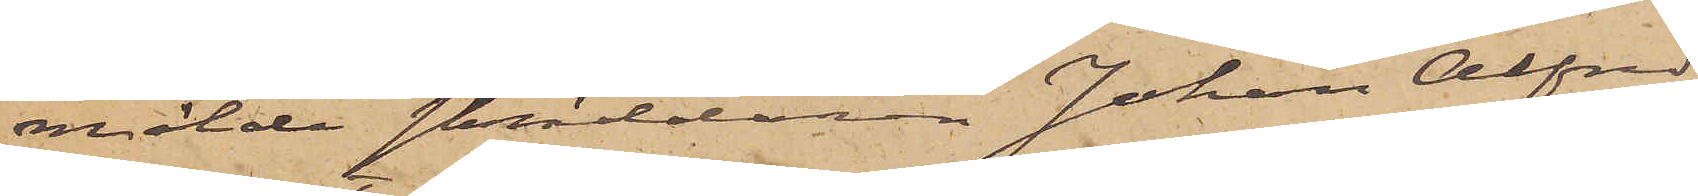mälde skräddaren Johan Alfred
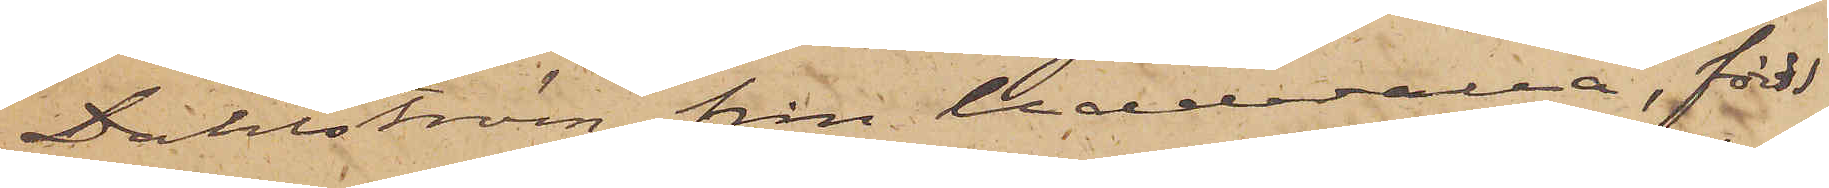Dahlström från Uddevalla, född
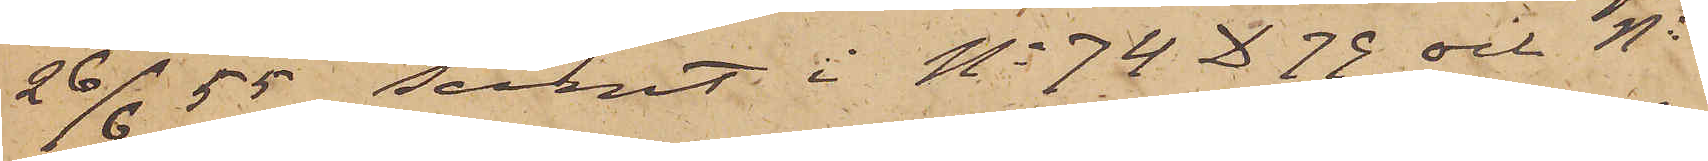26/6  55 samt i No 74 D 79 och No
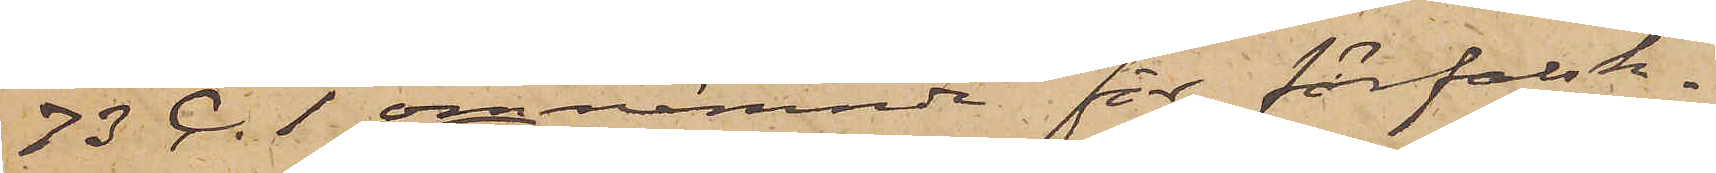73 C .1 omnämnde för förfalsk¬
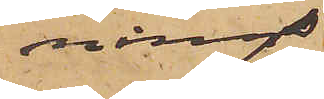nings¬
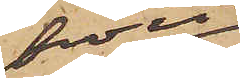brott
